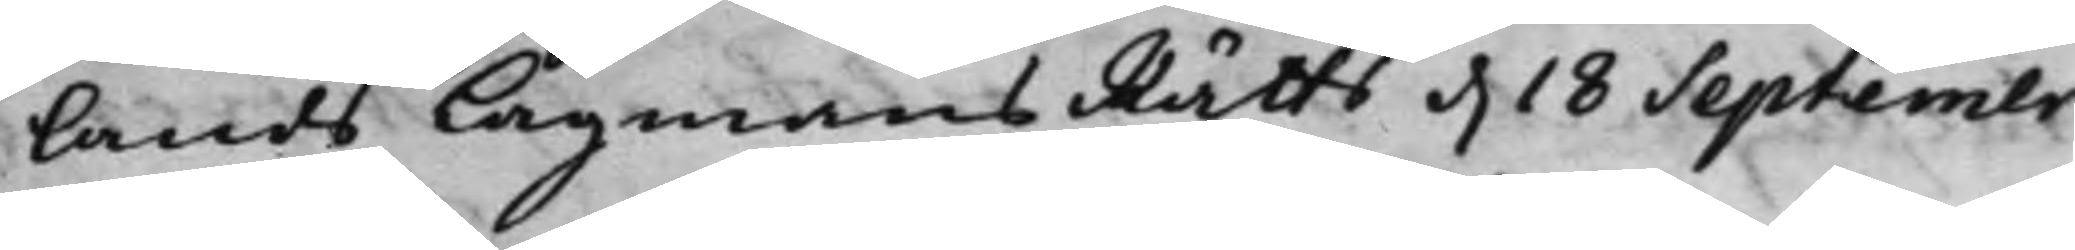lands LagmansRätts d. 18 Septembr
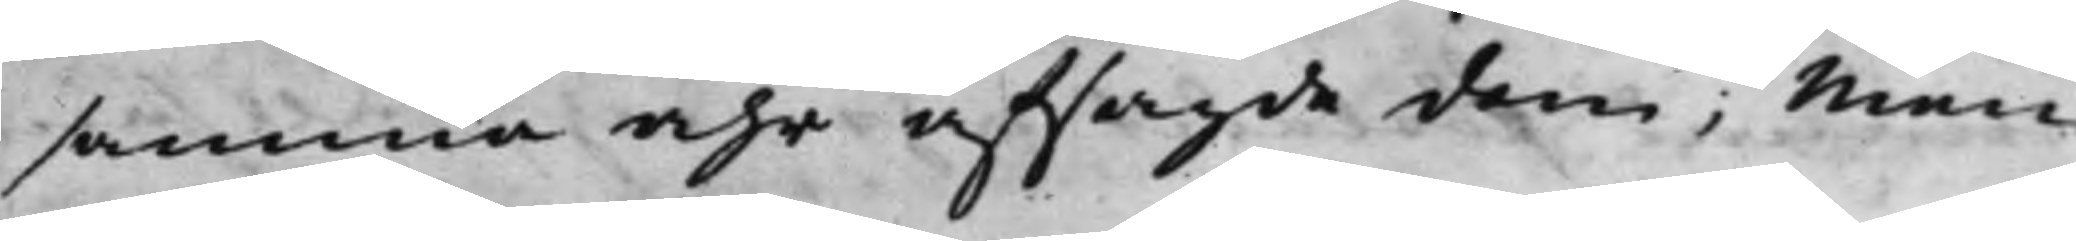samma åhr afsagde dom; Men
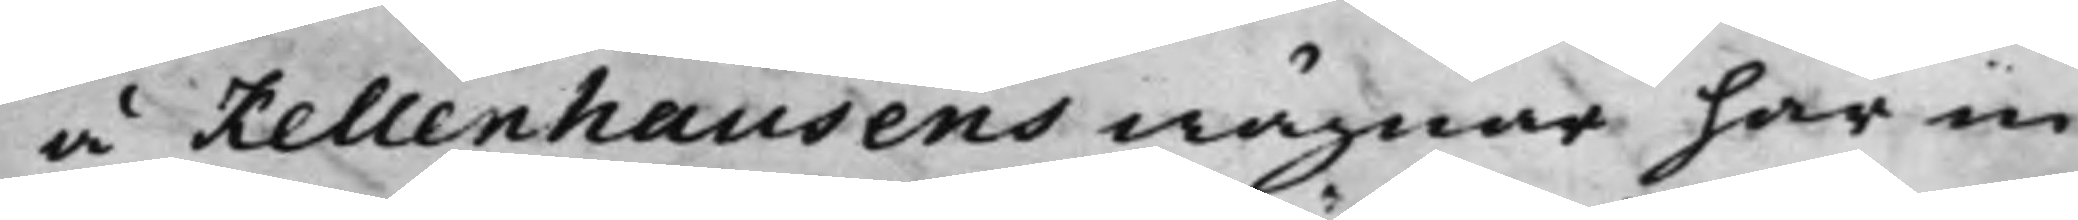å Kellenhausens wägnar har in¬
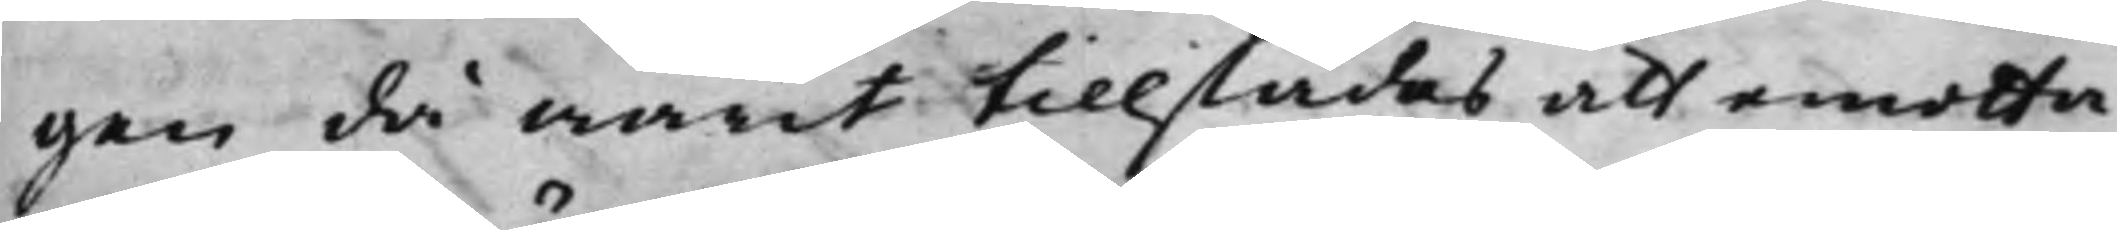gen då warit tillstädes att emotta¬
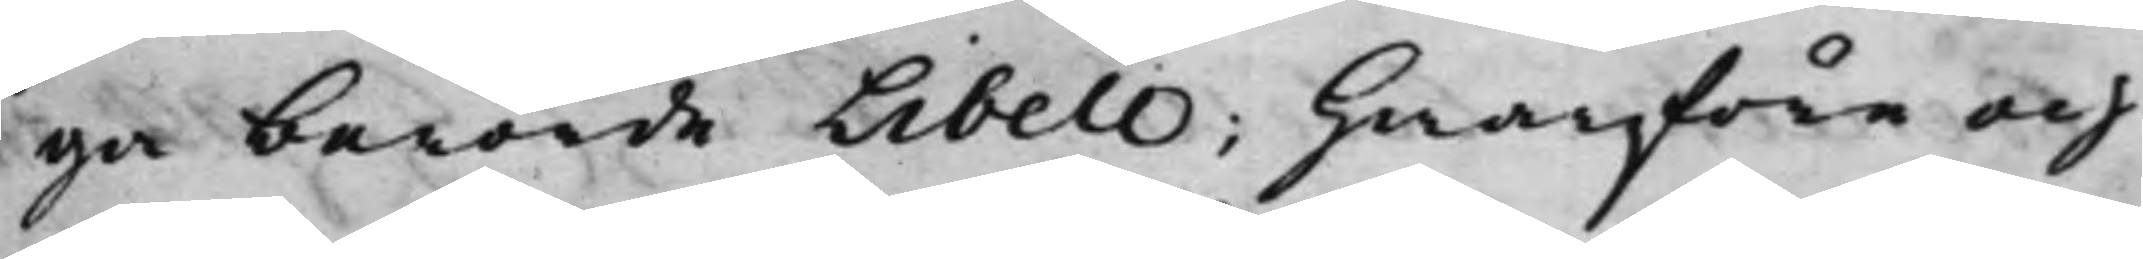ga berörde Libell; Hwarföre och
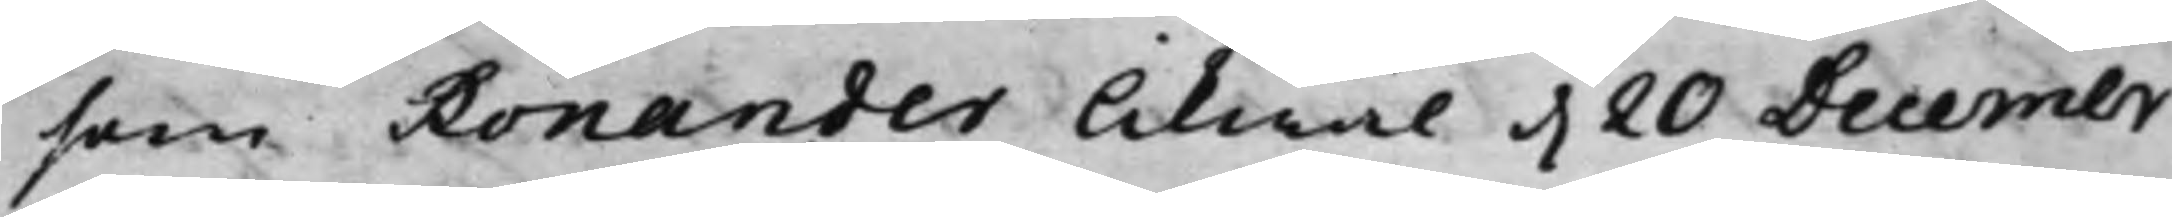som Ronander likwäl d. 20 Decembr
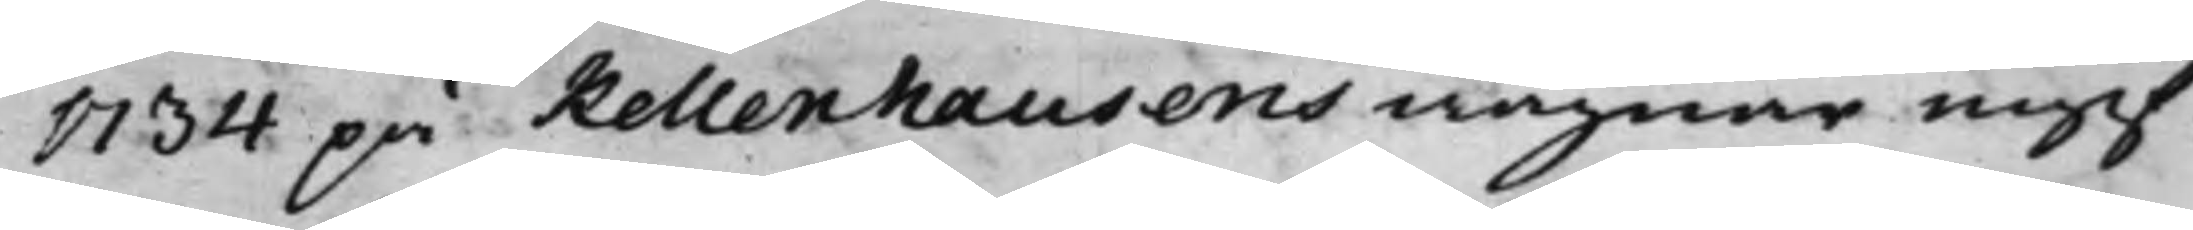1734 på Kellenhausens wägnar ingif¬
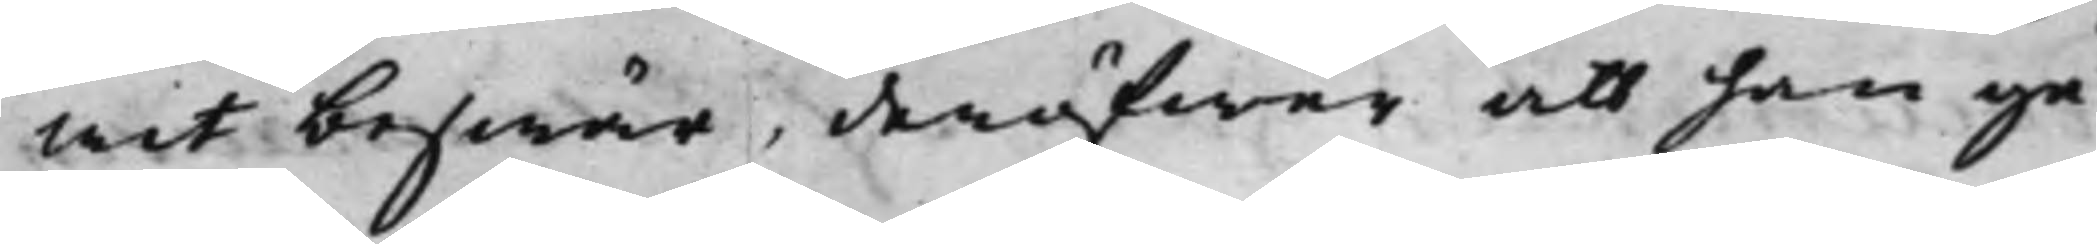wit beswär, deröfwer att han ge¬
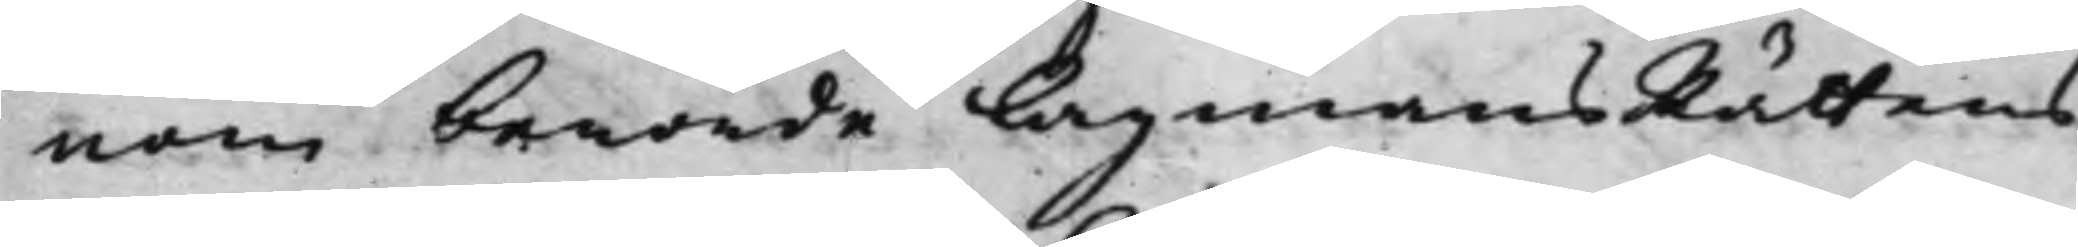nom berörde LagmansRättens
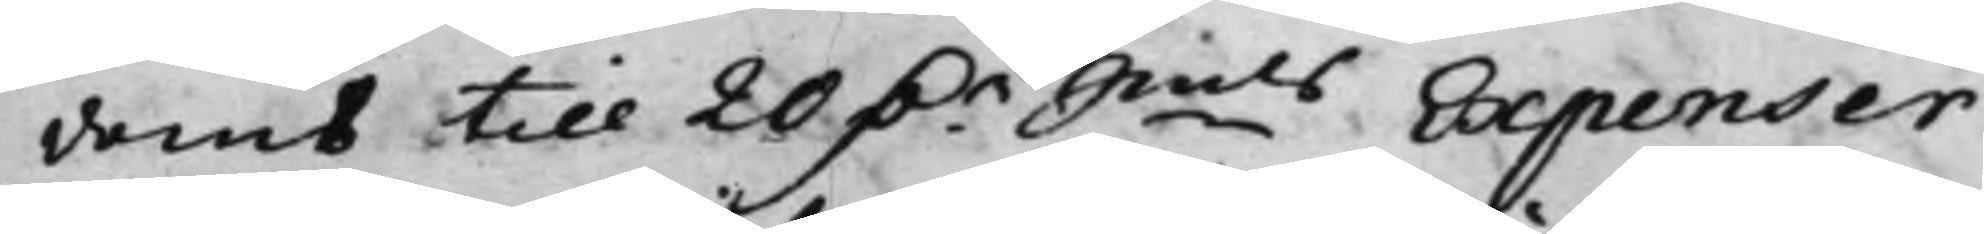domb till 20 D.r Smts Expenser
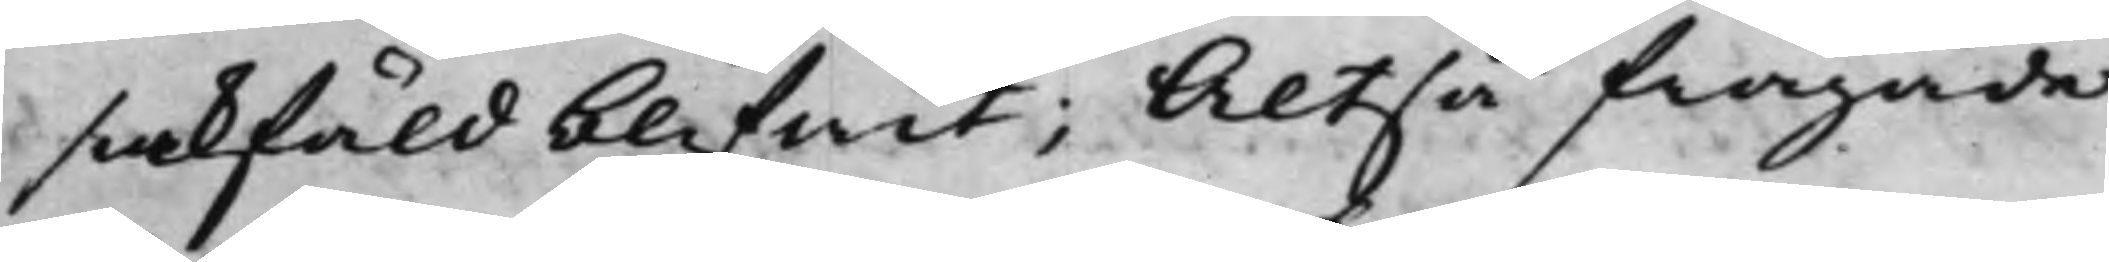sakfäld blifwit; Altså frågade
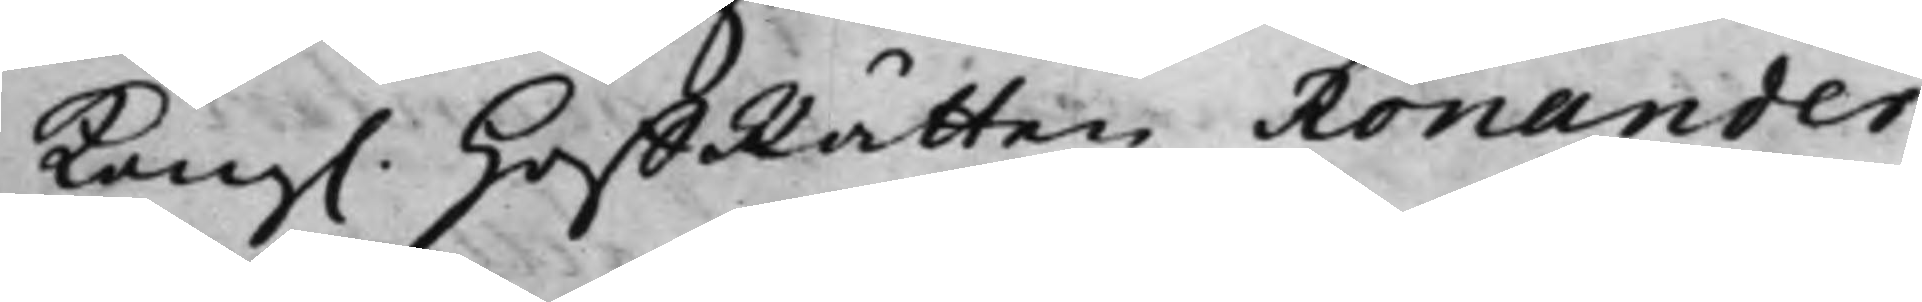Kong. HoffRätten Ronander,
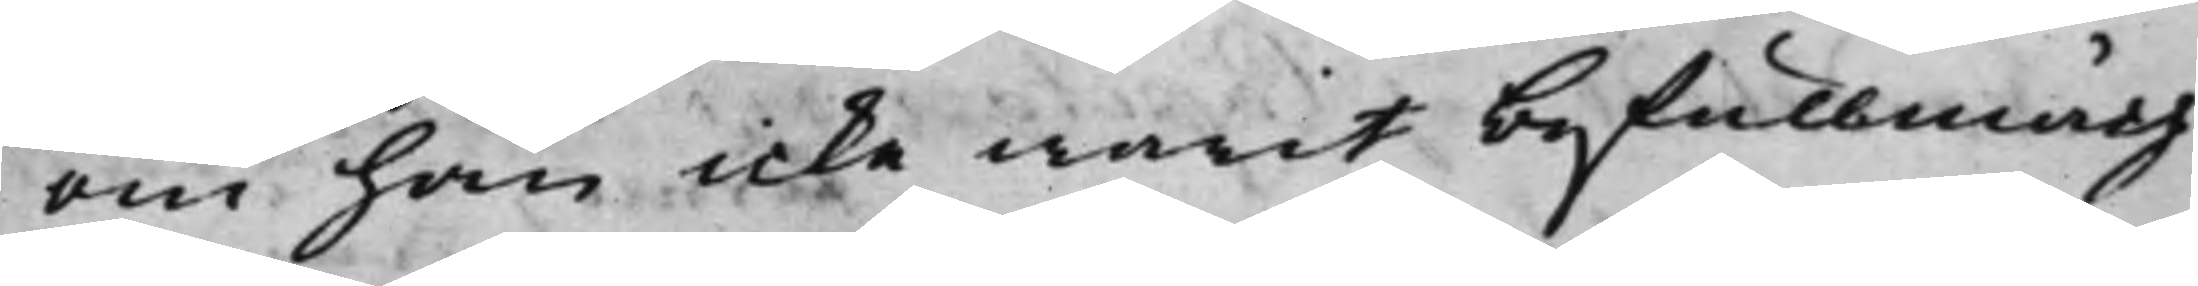om han icke warit befullmäch¬
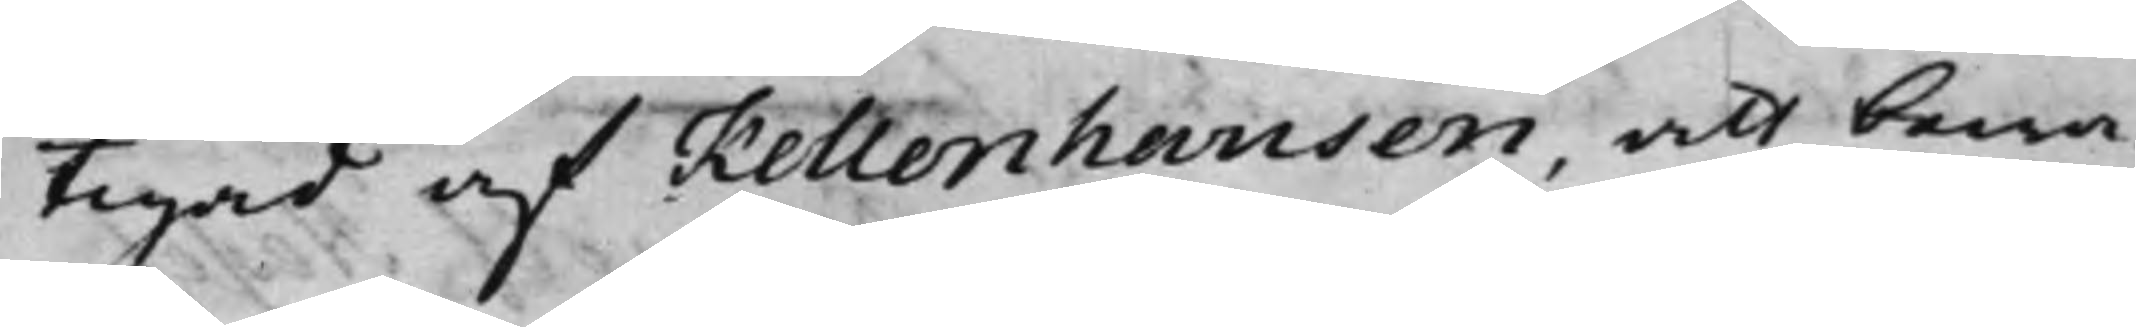tigad af Kellenhausen, att bewa¬
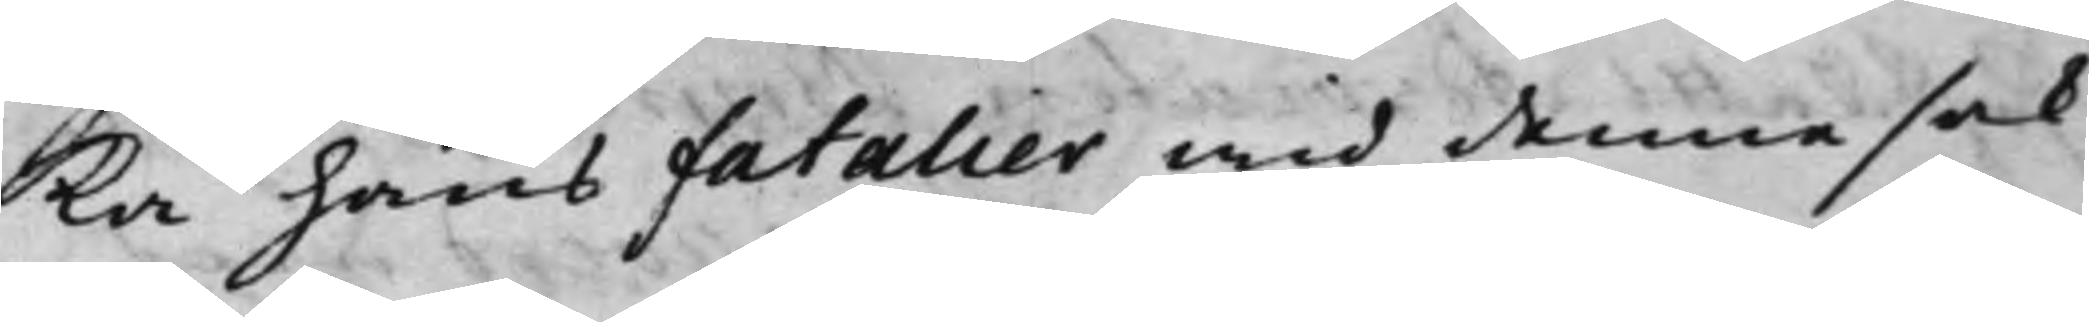ka hans Fatalier wid denna sak
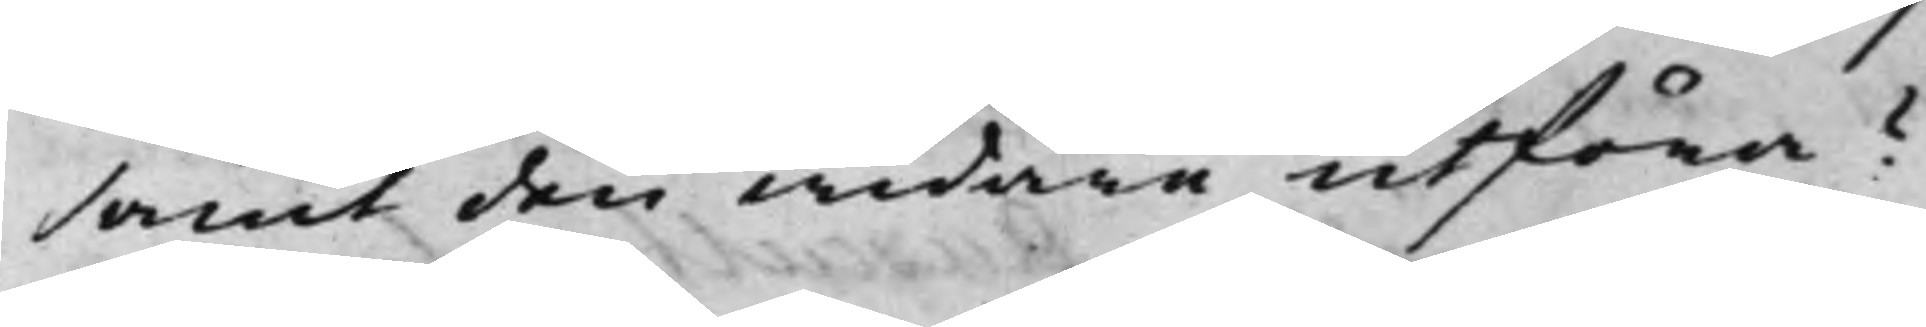samt den widare utföra?
